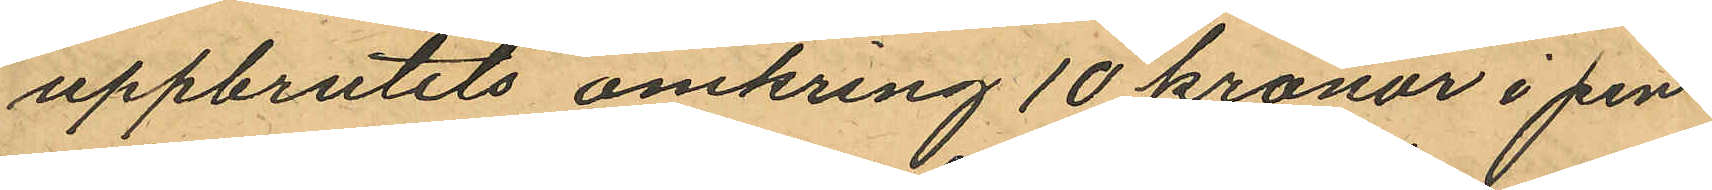uppbrutits omkring 10 kronor i pen¬
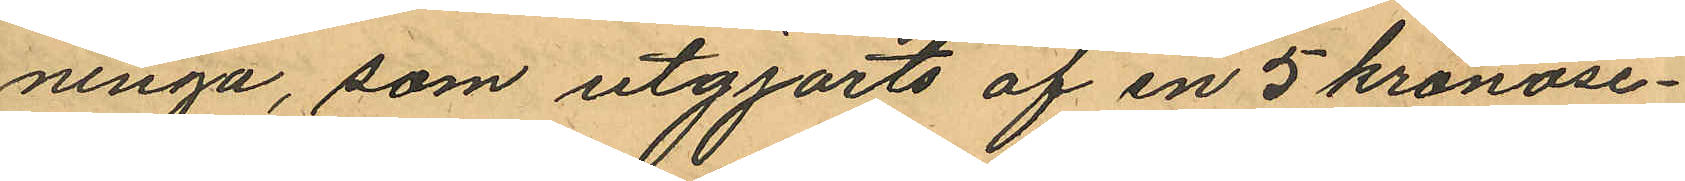ninga, som utgjorts af en 5 kronose¬
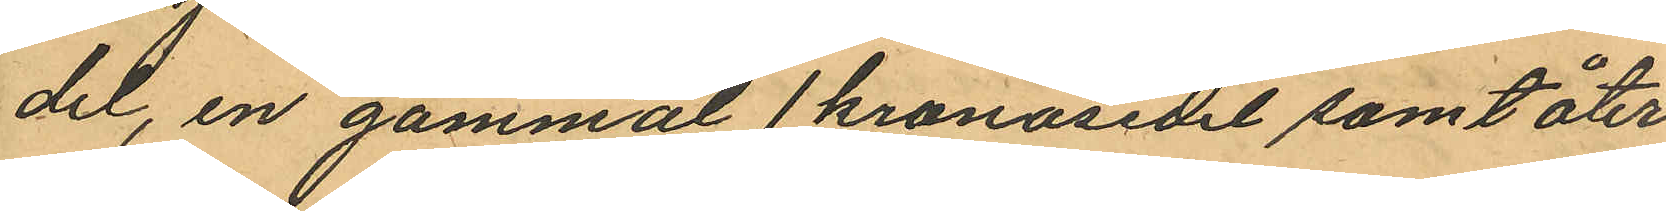del, en gammal 1 kronosedel samt åter
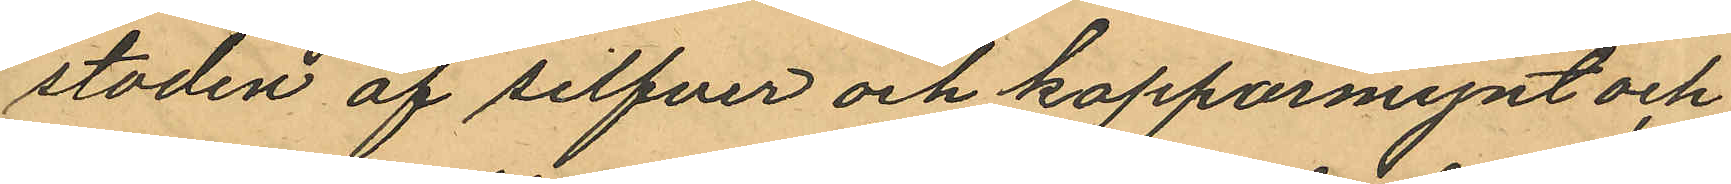stoden af silfver och kopparmynt och
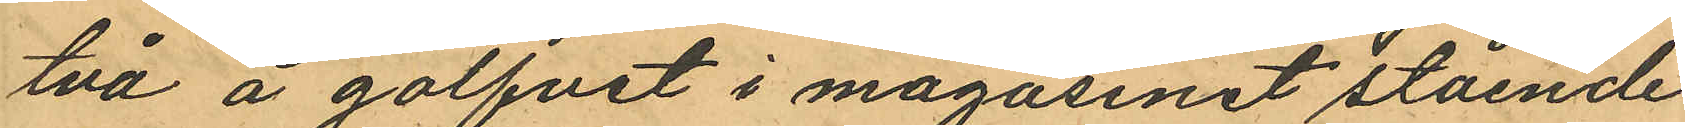två å golfvet i magasinet stående
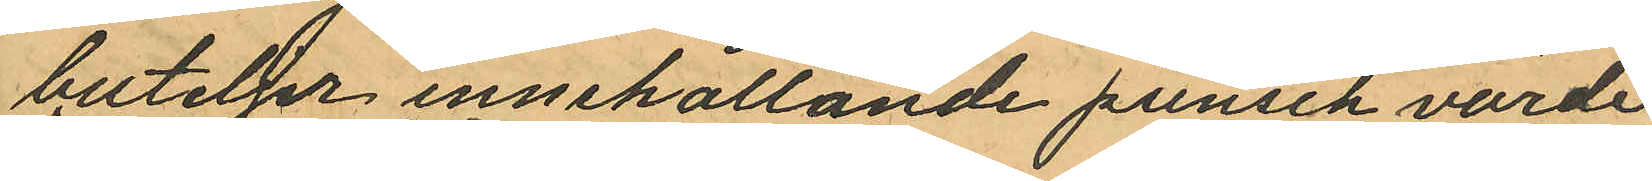buteljer innehållande punsch värde
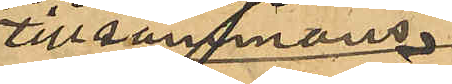tillsammans
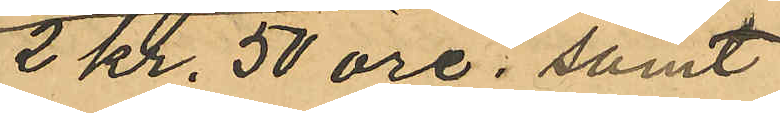2 Kr. 50 öre; samt
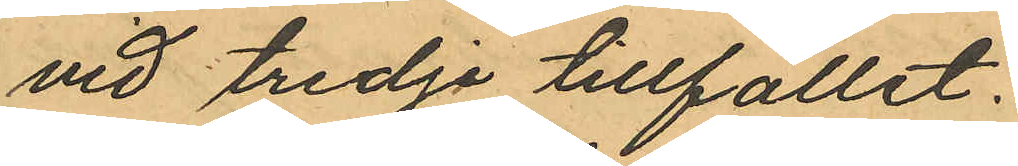vid tredje tillfället.
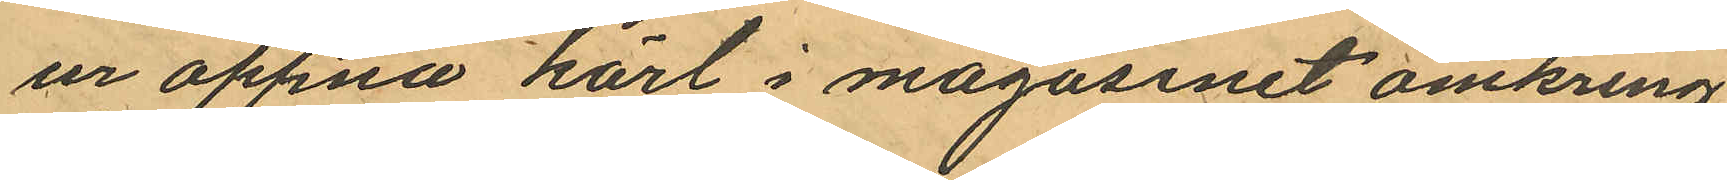ur öppna kärl i magasinet omkring
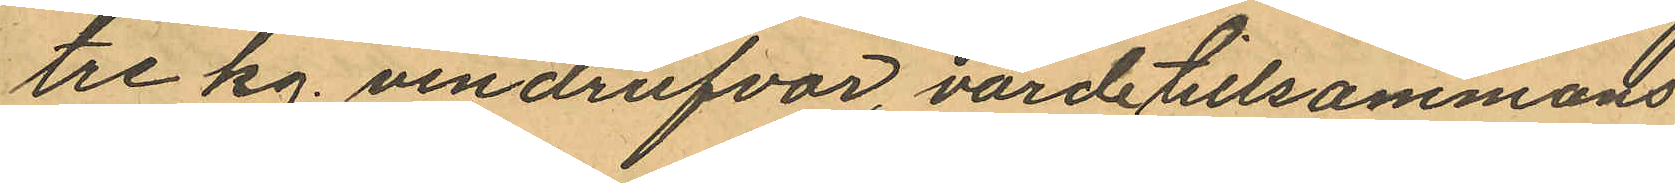tre kg. vindrufvor, värde tillsammans
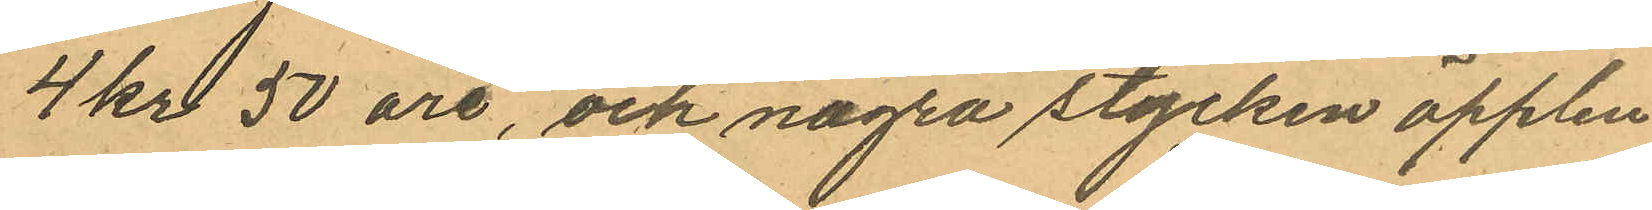4 kr 50 öre, och några stycken äpplen
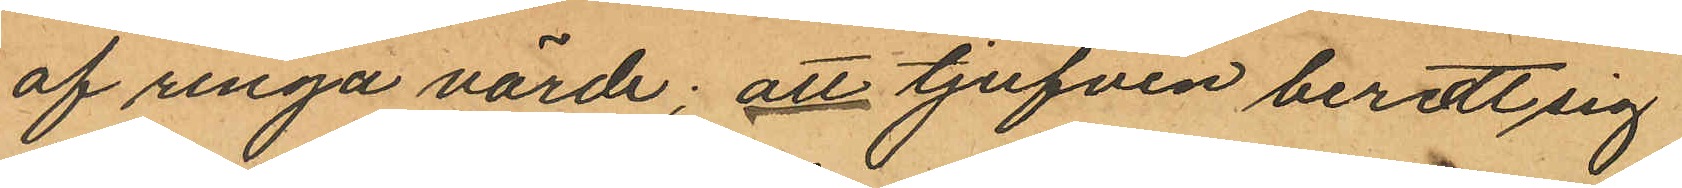af ringa värde; att tjufven beredt sig
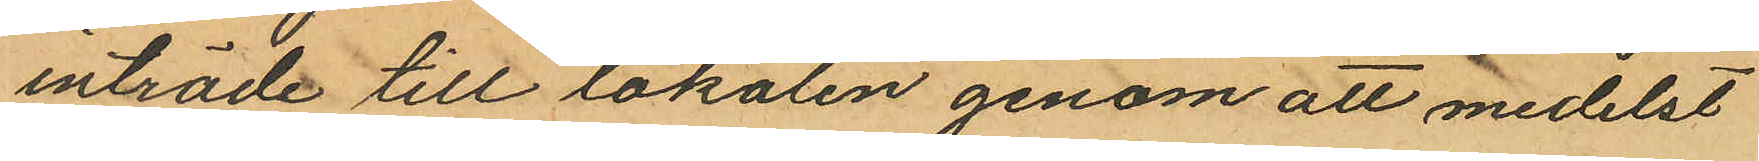inträde till lokalen genom att medelst
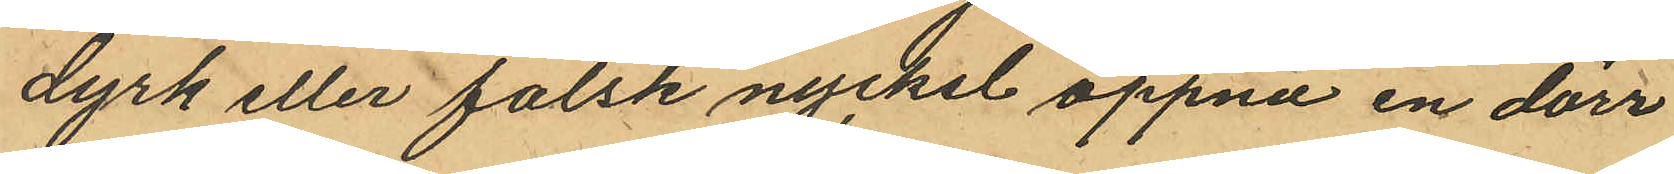dyrk eller falsk nyckel öppna en dörr
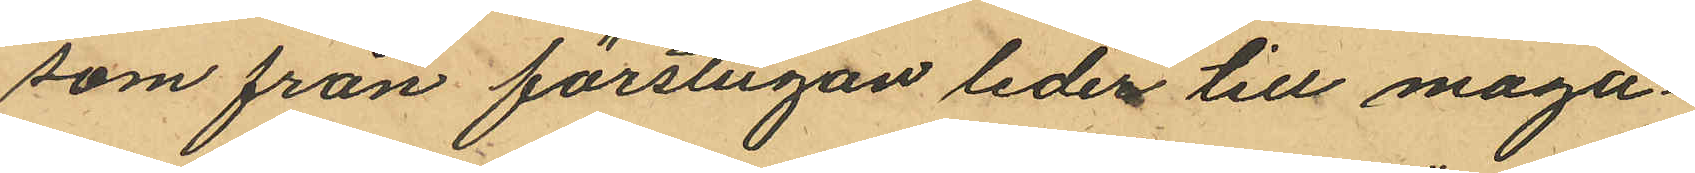som från förstugan leder till maga¬
